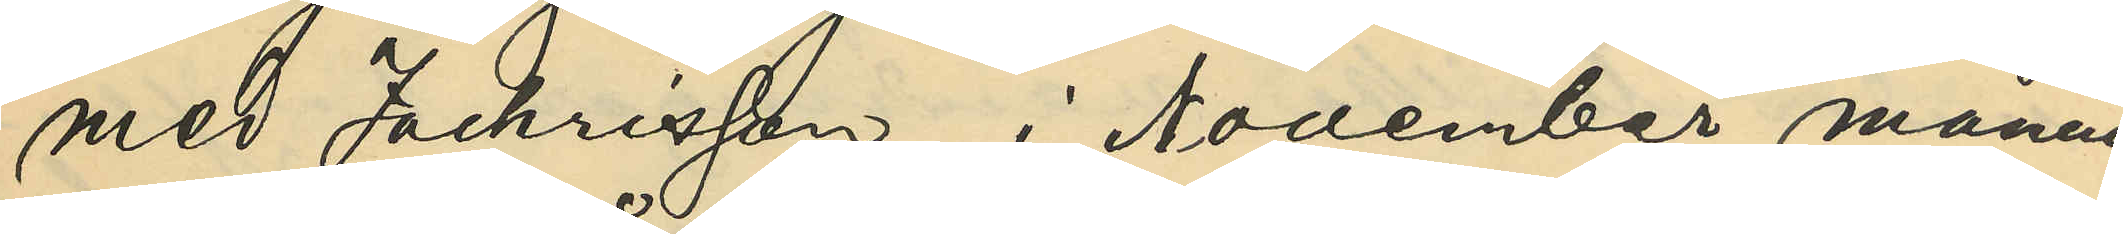med Zachrisson, i November månad
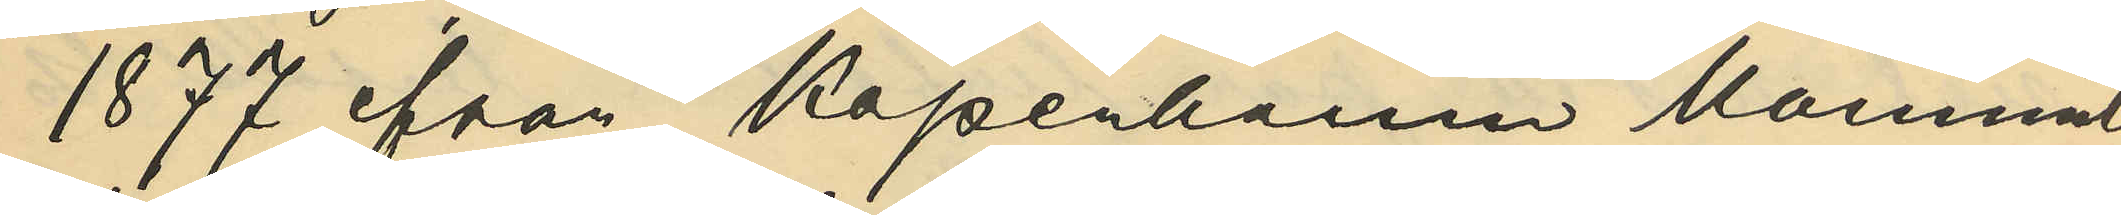1877 från Köpenhamn kommit
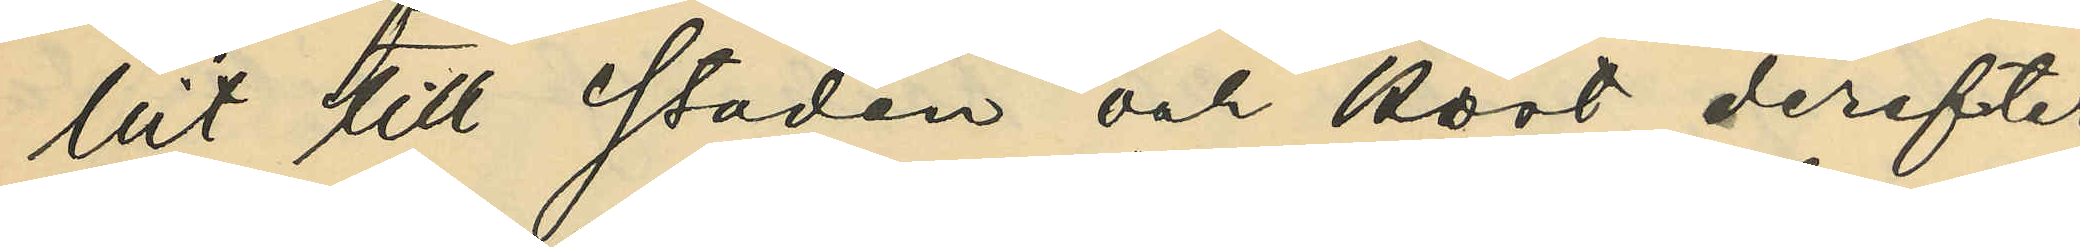hit till staden och kort derefter
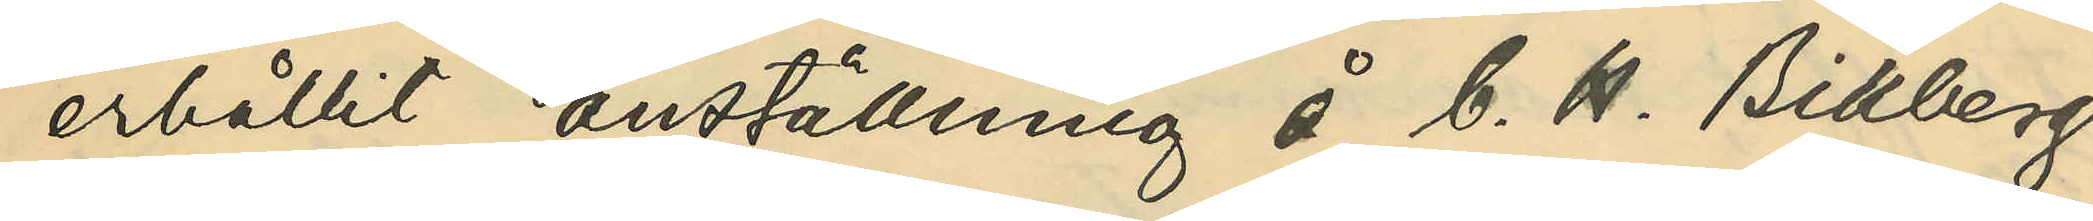erhållit anställning å C. H. Billbergs
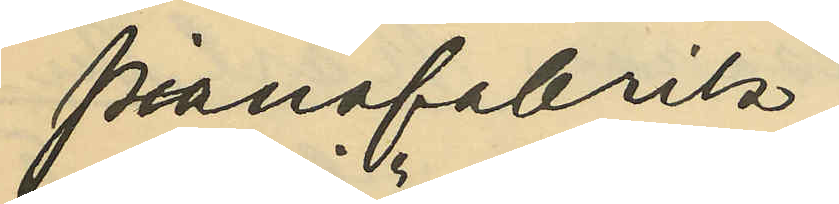pianofabrik;
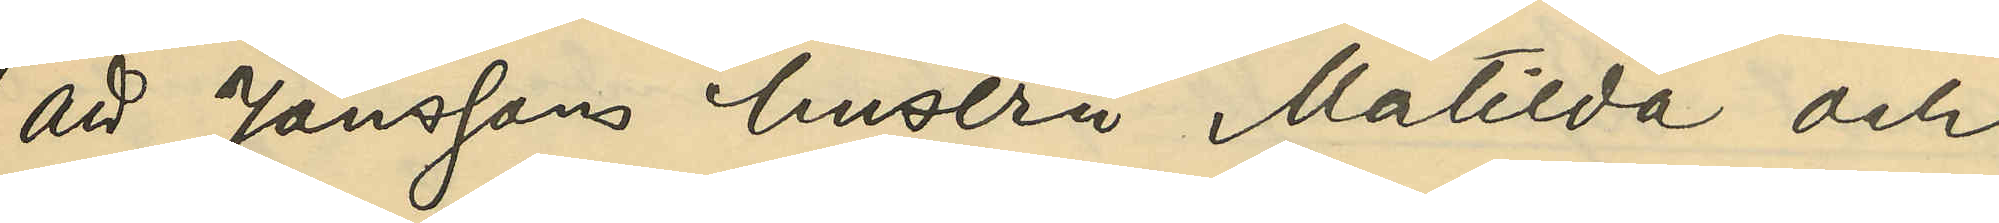att Jönssons hustru Matilda och
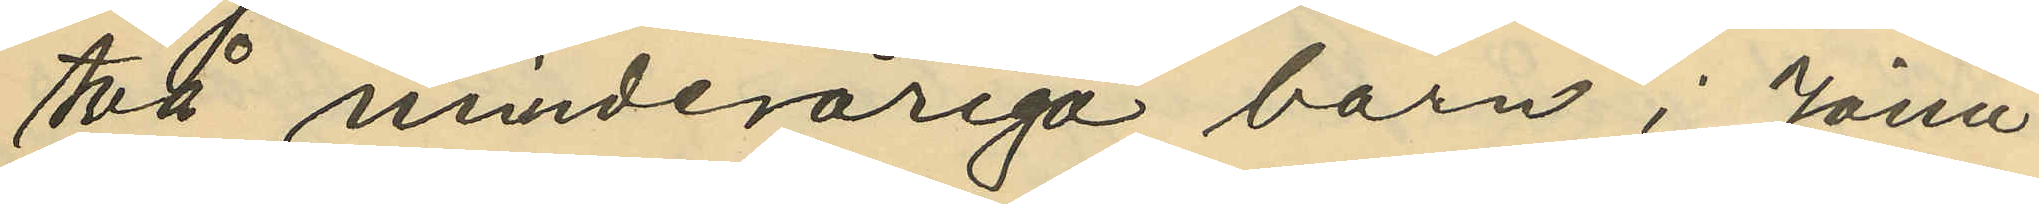två minderårige barn i Janu
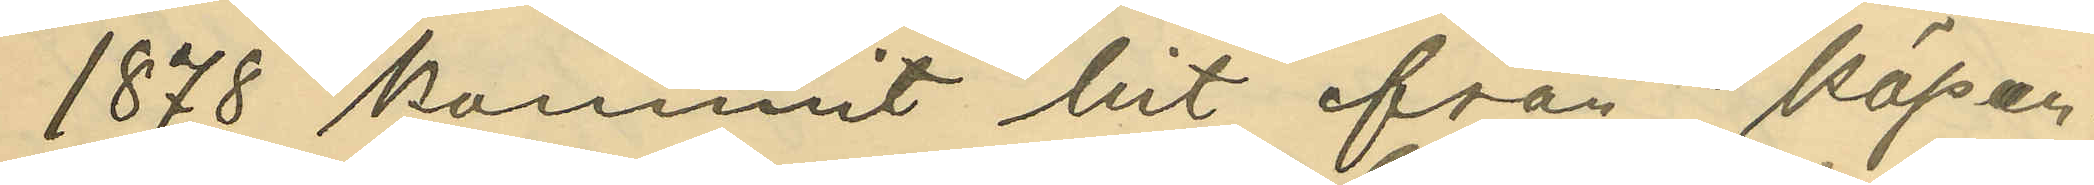1878 kommit hit från Köpen¬
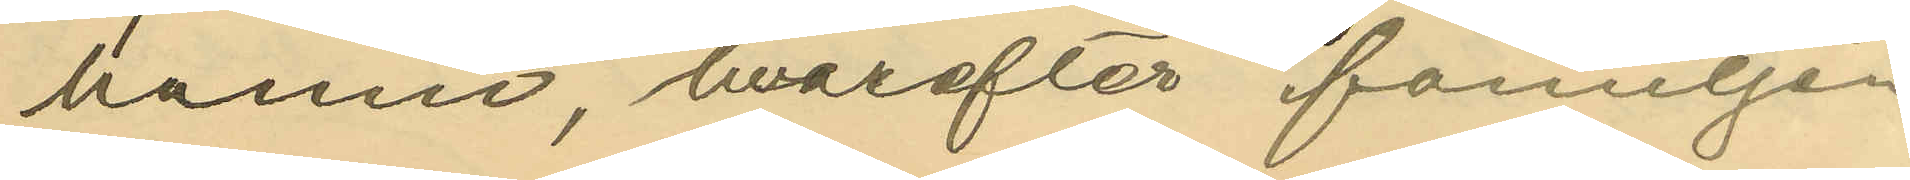hamn, hvarefter familjen
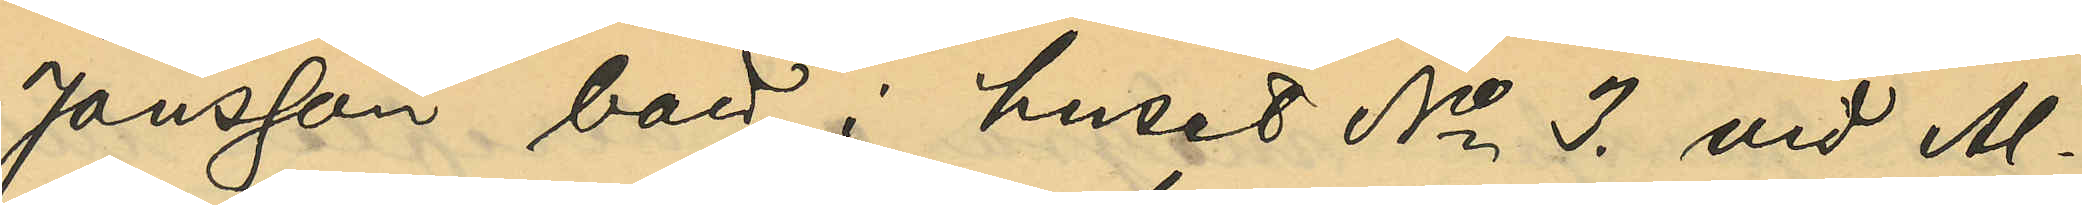Jönsson, bott i huset No 3. vid Al¬
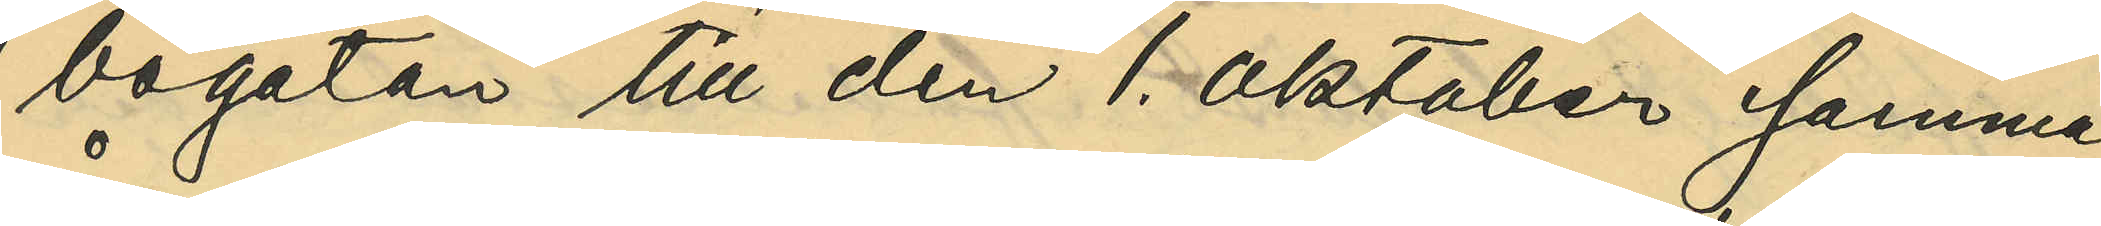bogatan till den 1. Oktober samma
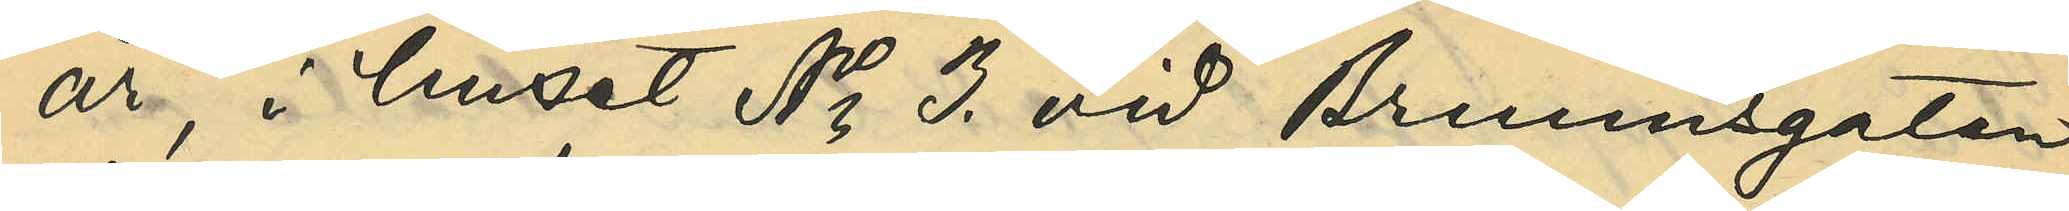år, i huset No 3. vid Brunnsgatan
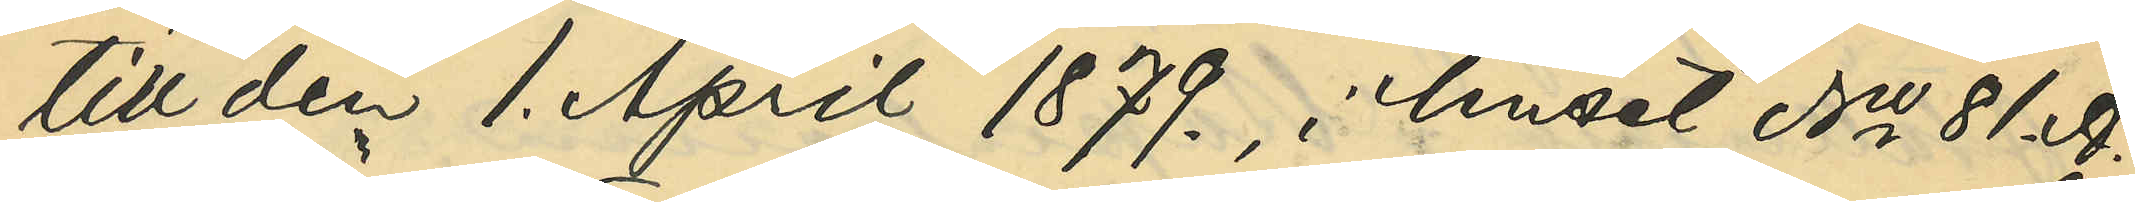till den 1. April 1879., i huset No 81. A.
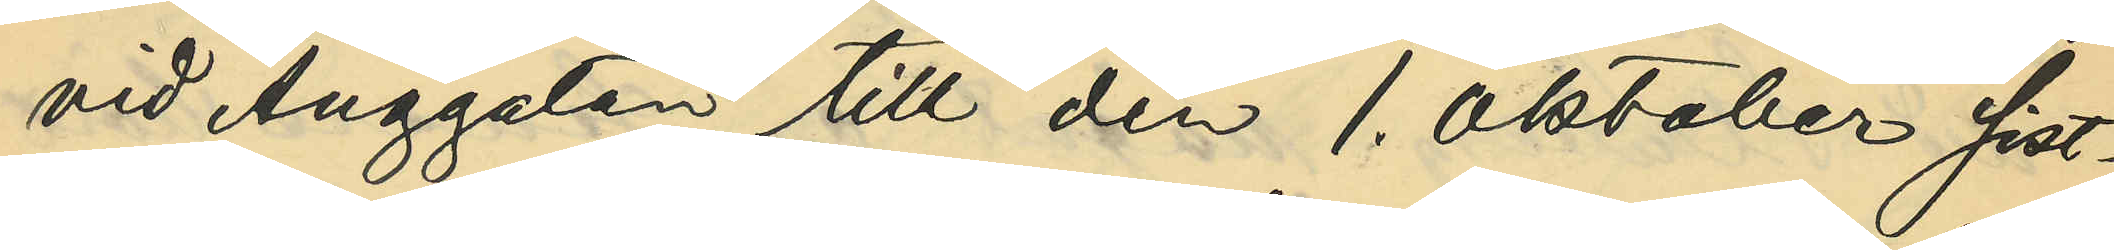vid Änggatan till den 1. Oktober sist¬
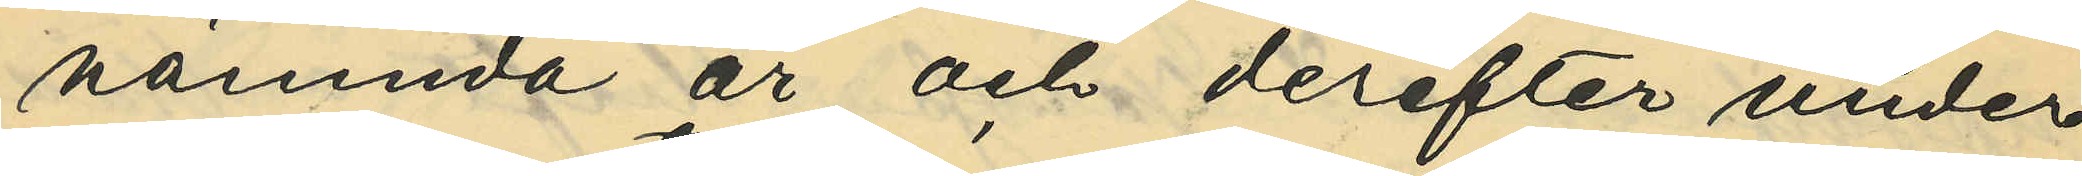nämnda år och derefter under
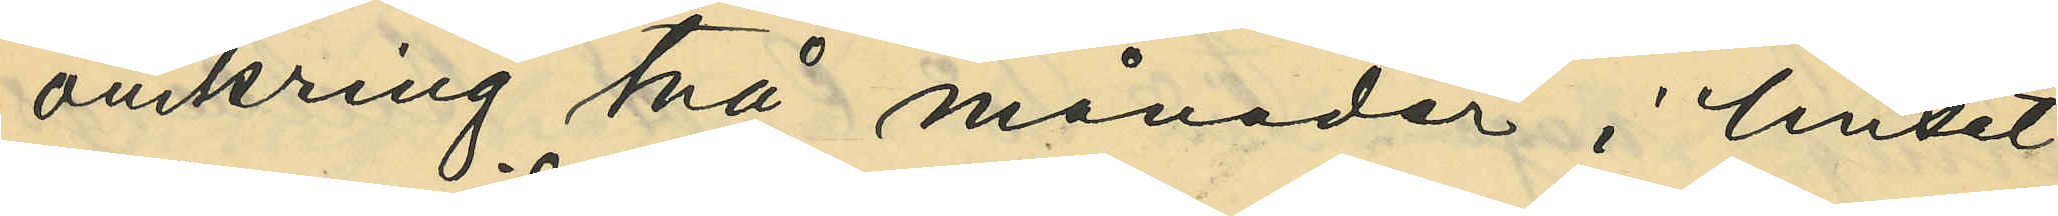omkring två månader i huset
